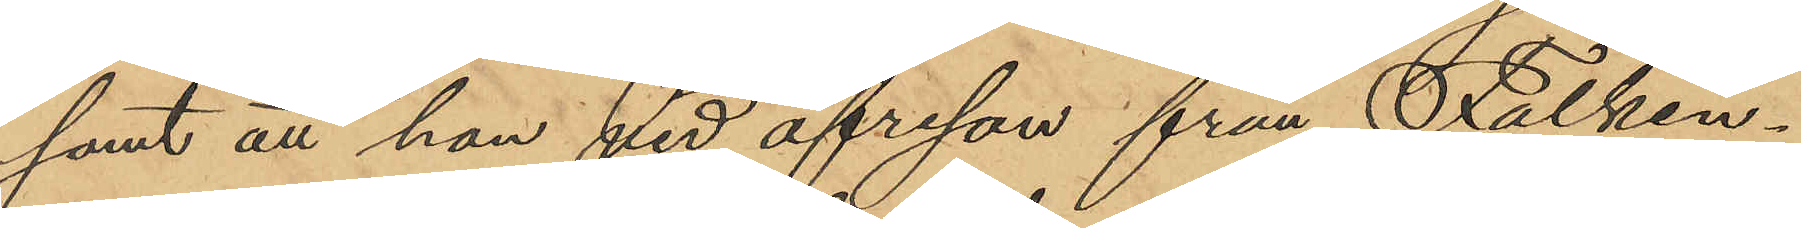samt att hon vid afresan från Falken¬
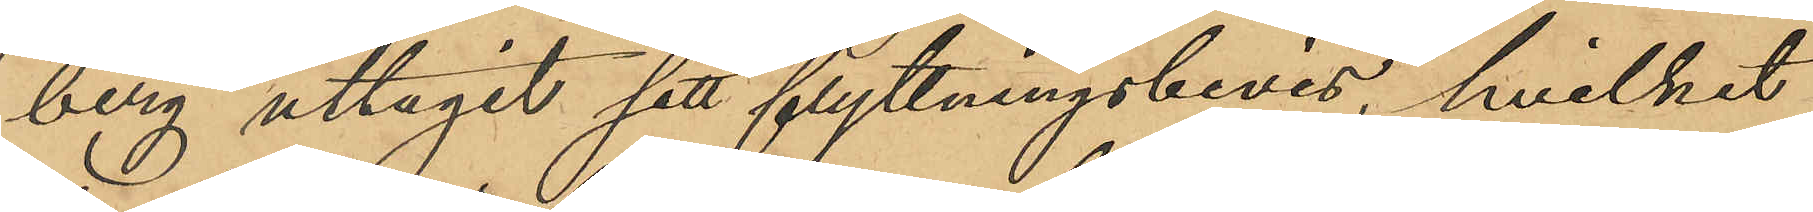berg uttagit sitt flyttningsbevis, hvilket
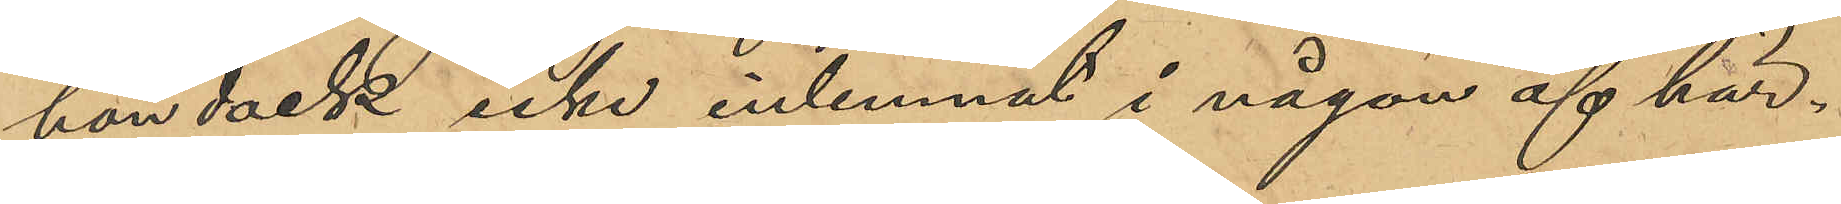hon dock icke inlemnat i någon af här¬
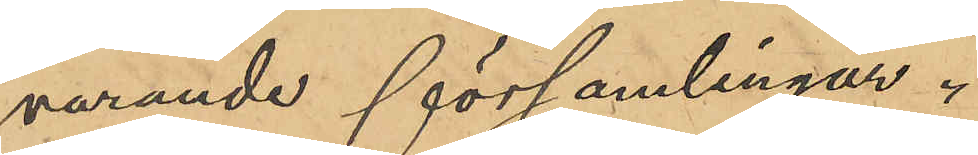varande församlingar.
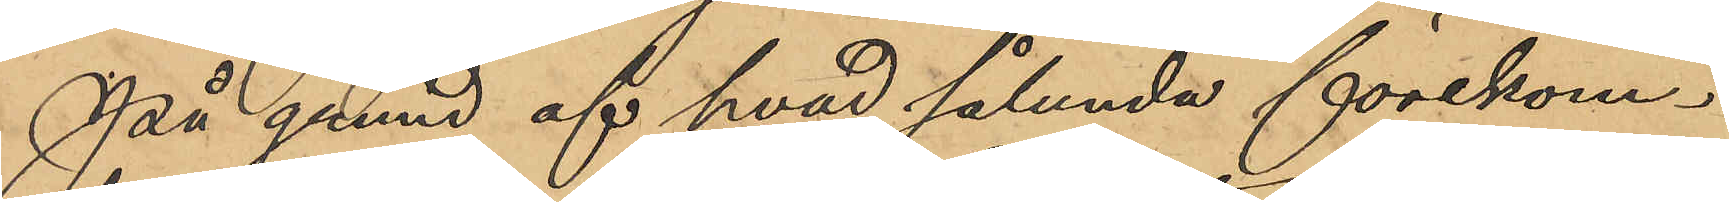På grund af hvad sålunda förekom¬
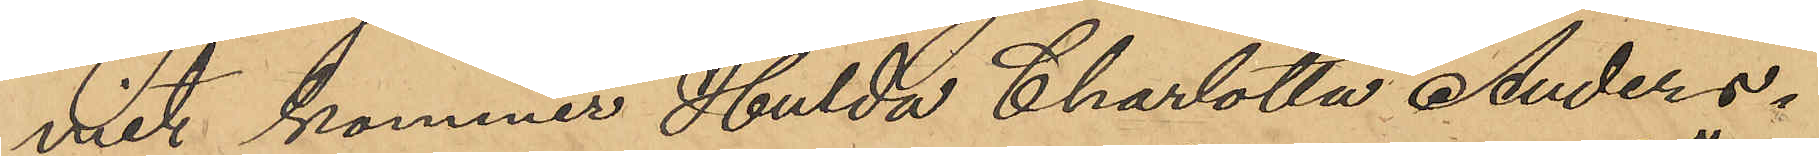mit kommer Hulda Charlotta Anders¬
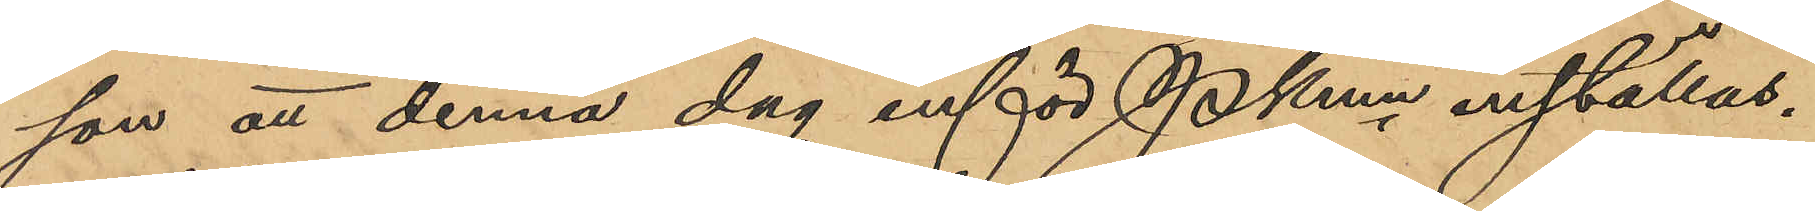son att denna dag inför Pkmn inställas.
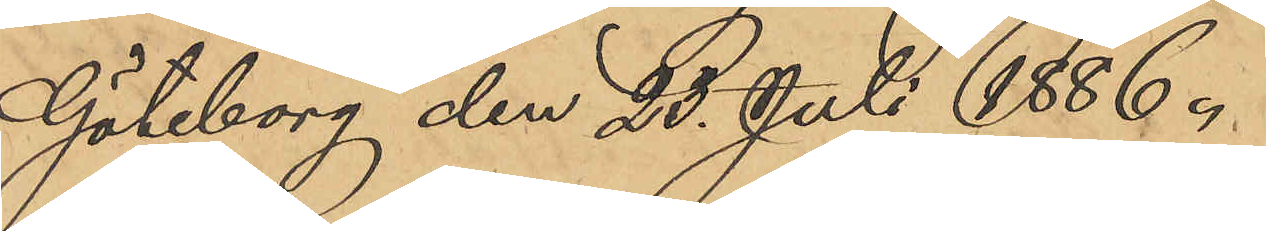Göteborg den 25 Juli 1886.
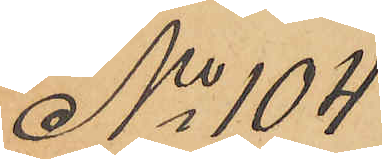No 104
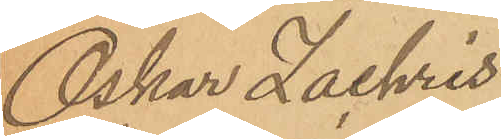Oskar Zachris
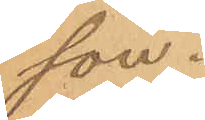son.
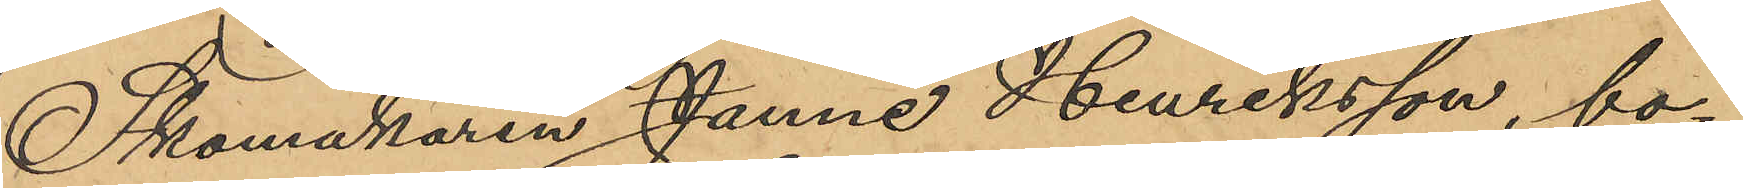Skomakaren Janne Henriksson, bo¬
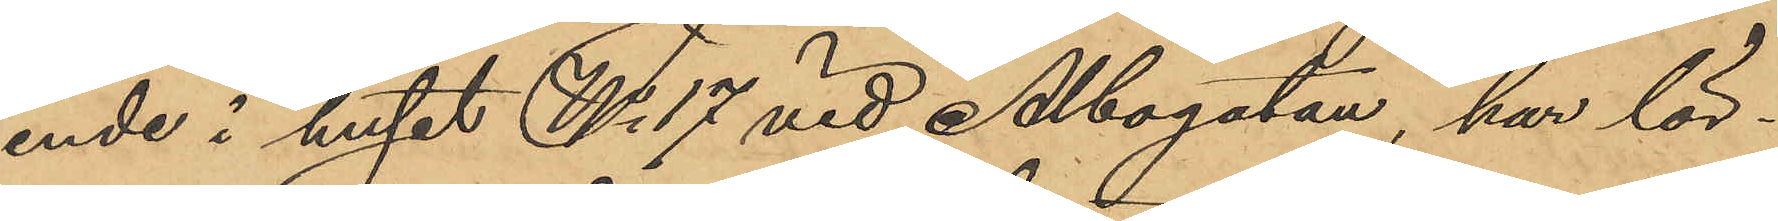ende i huset No 17 vid Albogatan, har lör¬
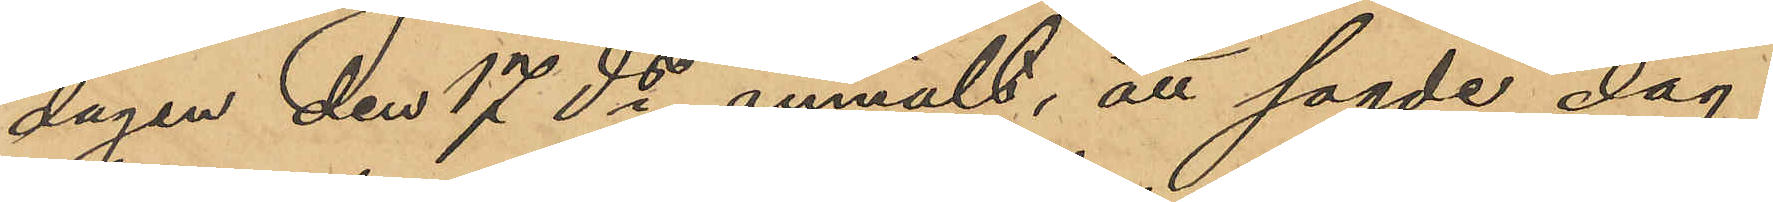dagen den 17 ds anmält, att sagde dag
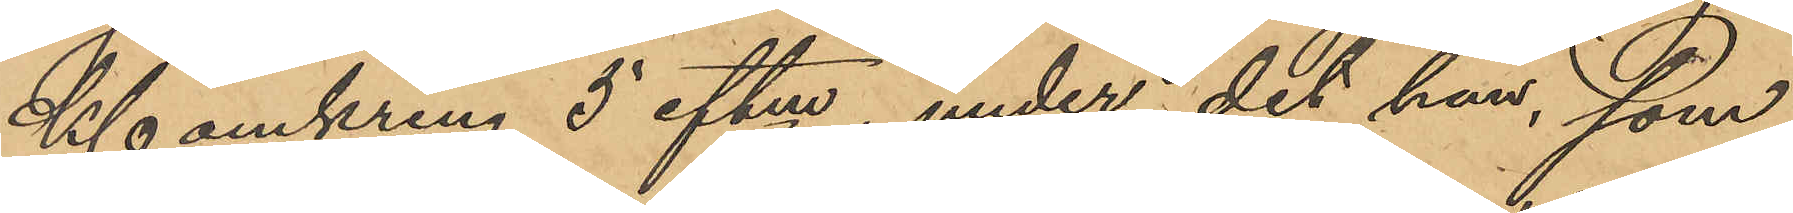Kl omkring 5 eftm, under det han, som
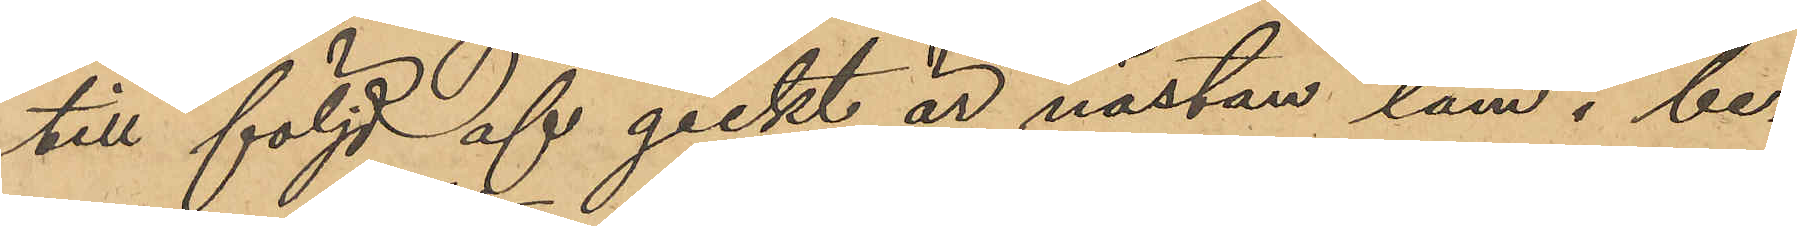till följd af gickt är nästan lam i be¬
